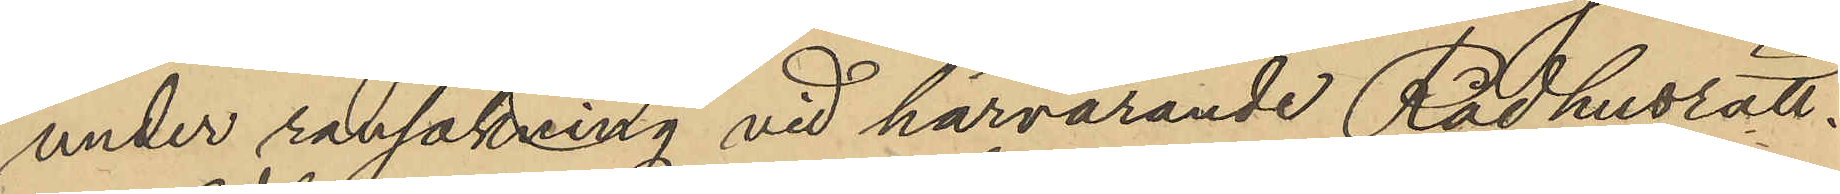under rannsakning vid härvarande Rådhusrätt,
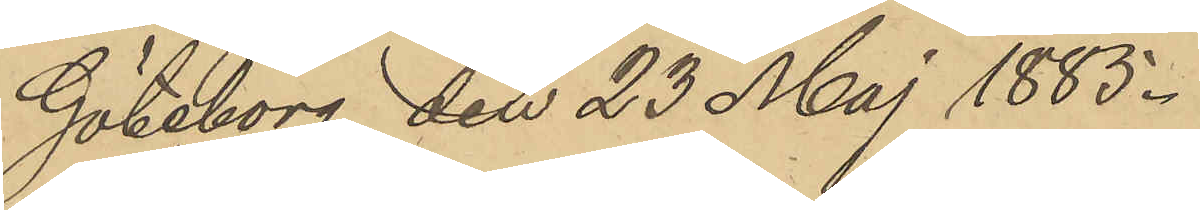Göteborg den 23 Maj 1885.
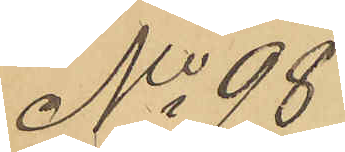No 98
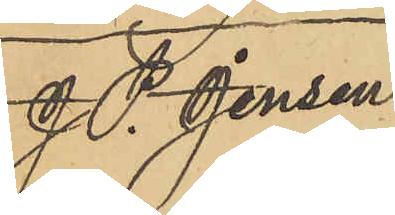J P. Jensen
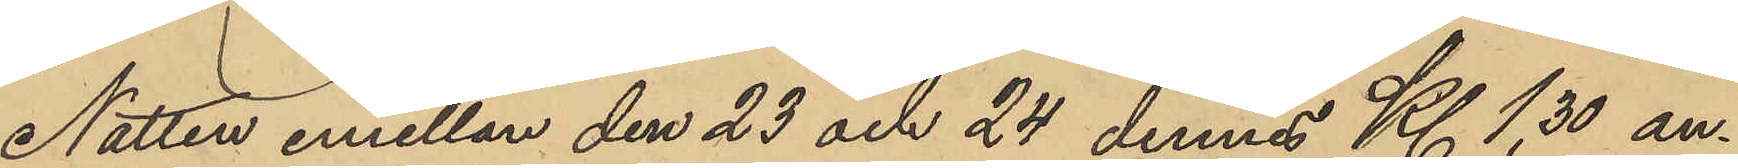Natten emellan den 23 och 24 dennes Kl. 1,30 an¬
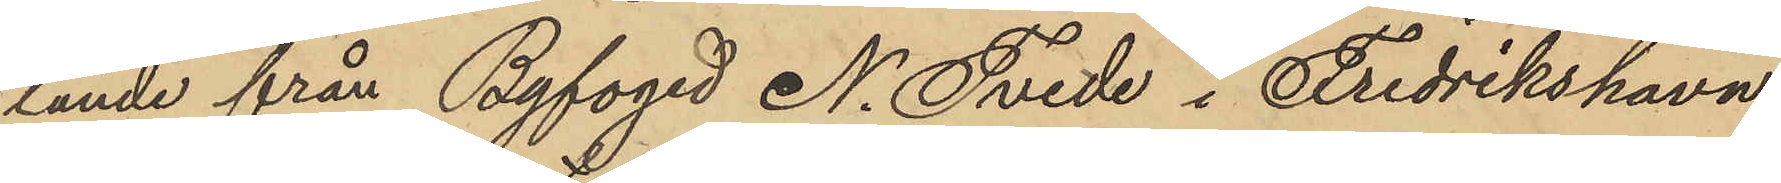lände från Byfoged N. Tvede i Fredrikshavn
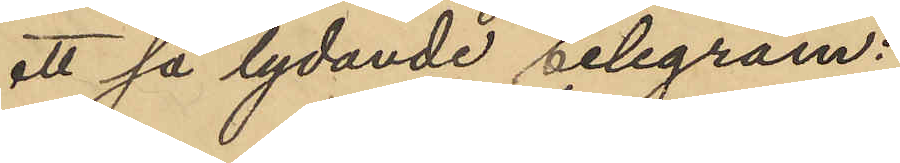att så lydande telegram:
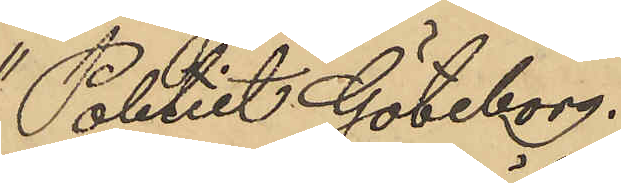"Poletiet Göteborg.
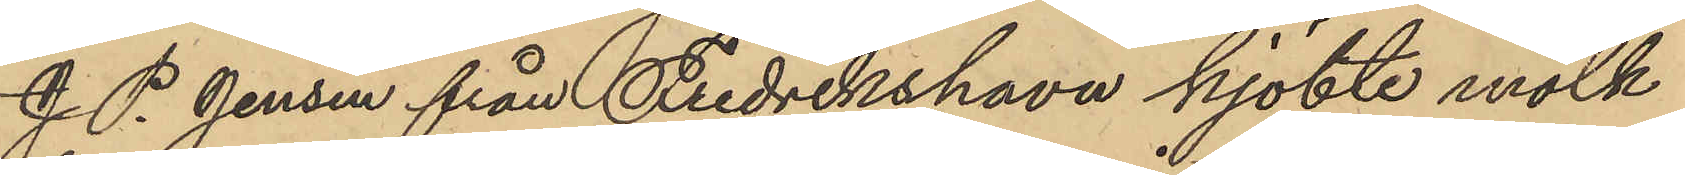J. P. Jensen från Fredrikshavn kjöbte mölk
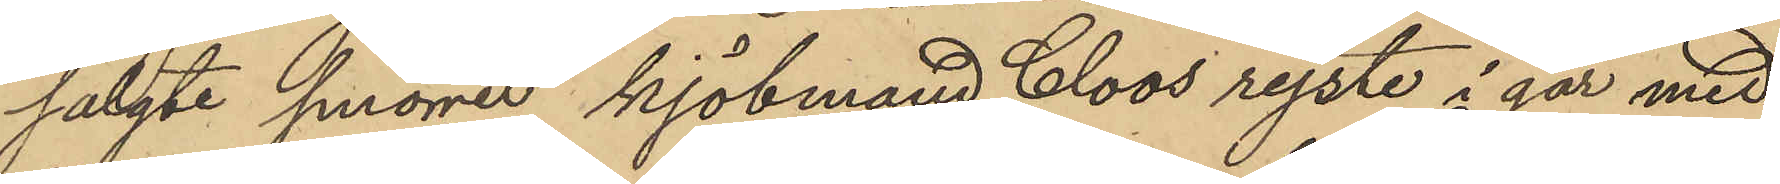salgte smörret kjöbmand Cloos rejste i går med
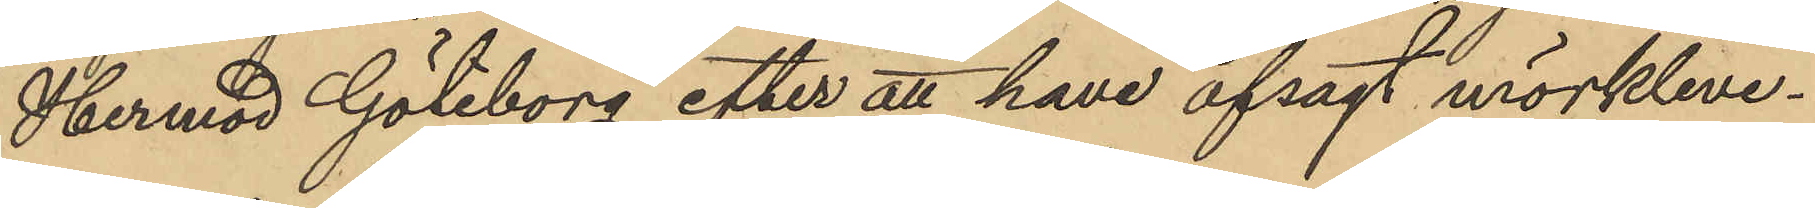Hermod Göteborg efter att have afsagt mörkleve¬
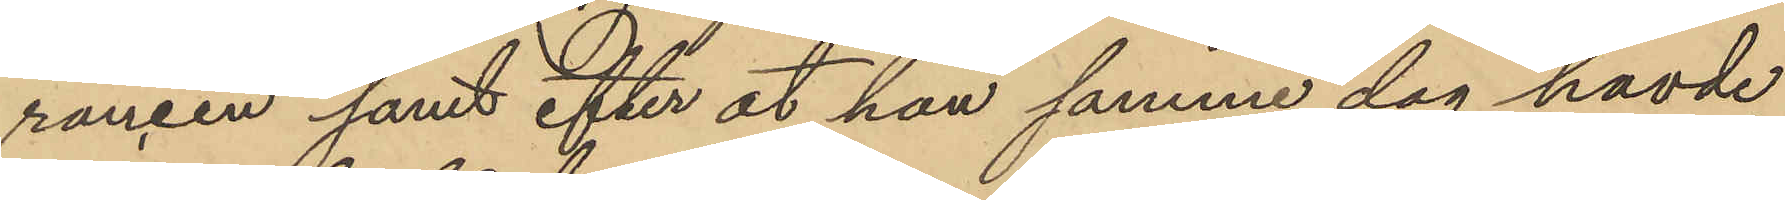ransen samt efter at han samme dag havde
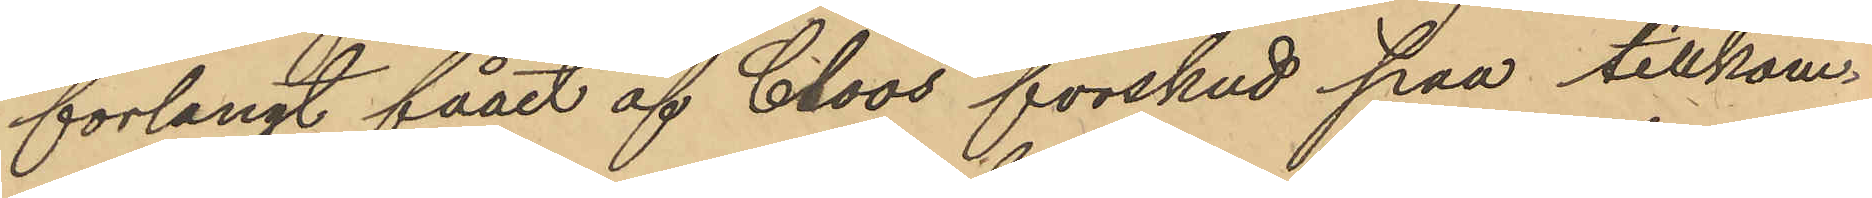forlangt fåaet af Cloos forskud paa tillkom¬
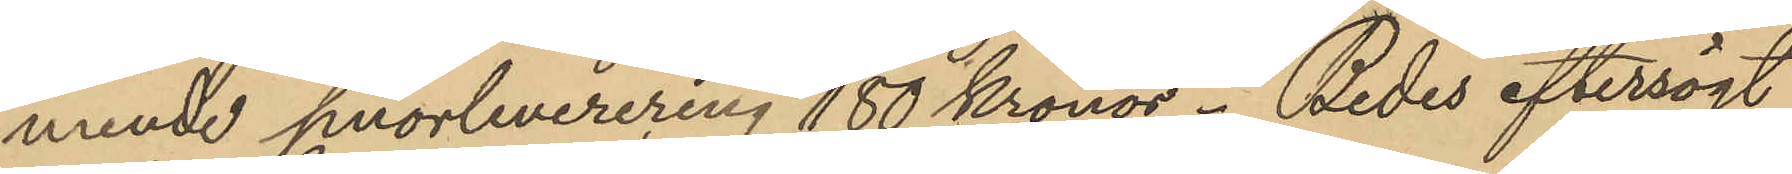mende smörleverering 180 kronor. Bedes eftersögt
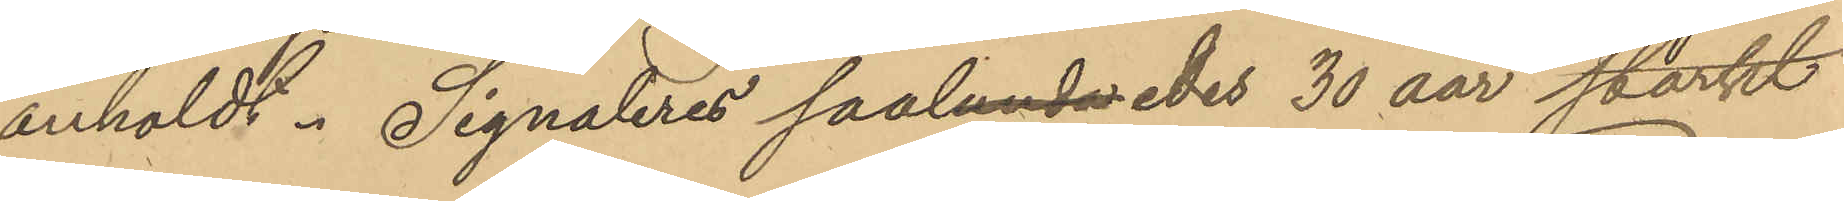anholdt. Signaleres saaledes 30 aar starkt
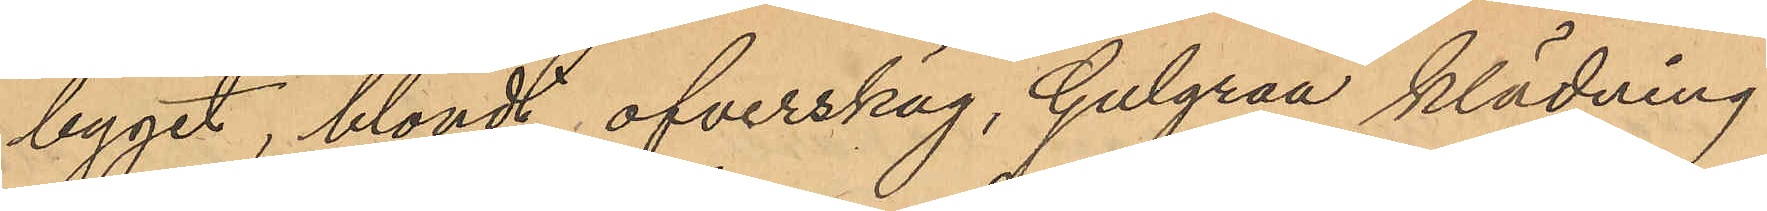byget, blondt ofverskäg, Gulgraa klädning
